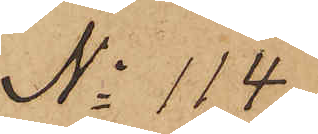No 114
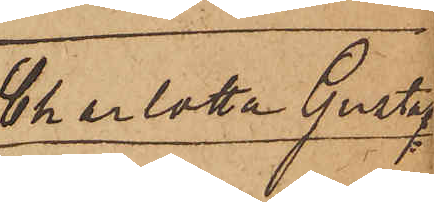Charlotta Gustaf¬
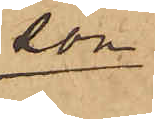son.
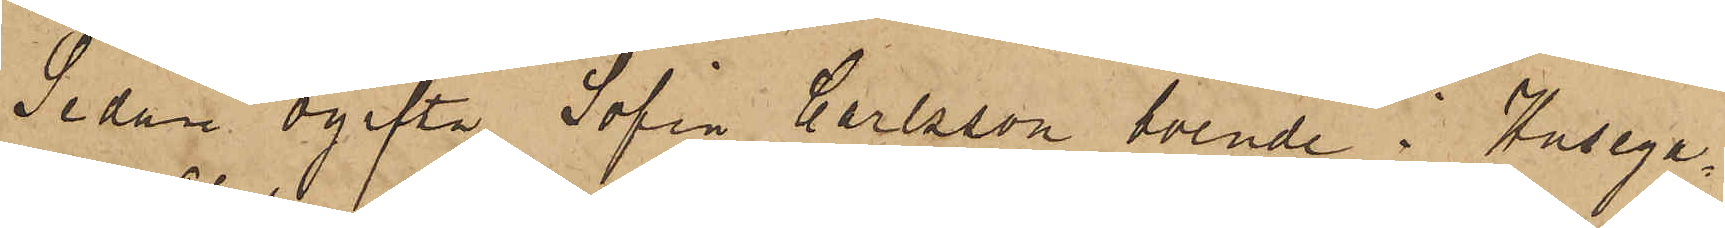Sedan ogifta Sofia Carlsson, boende i Husega¬
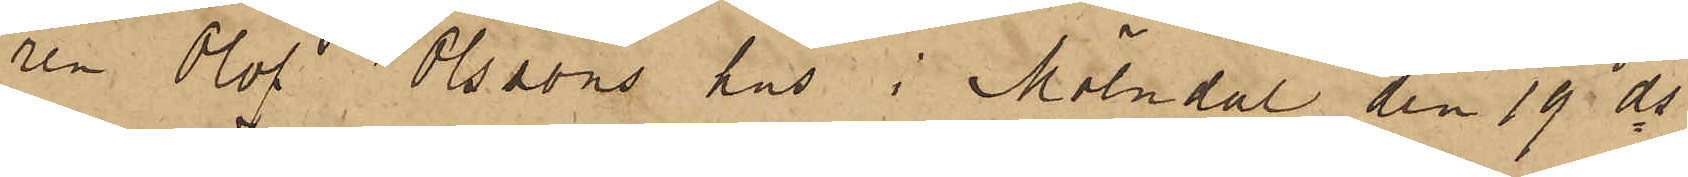ren Olof Olssons hus i Mölndal den 19 ds
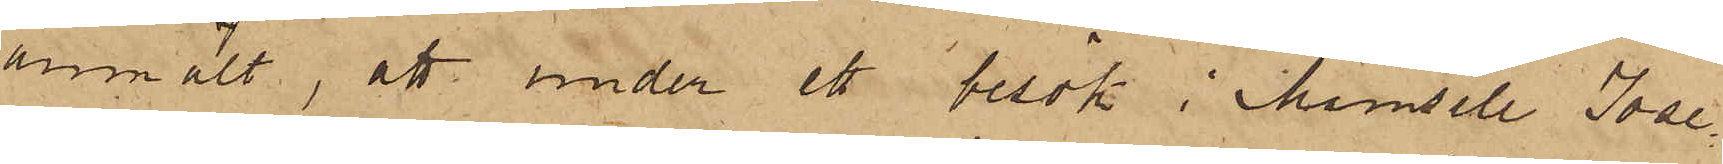anmält, att under ett besök i Mamsell Jose¬
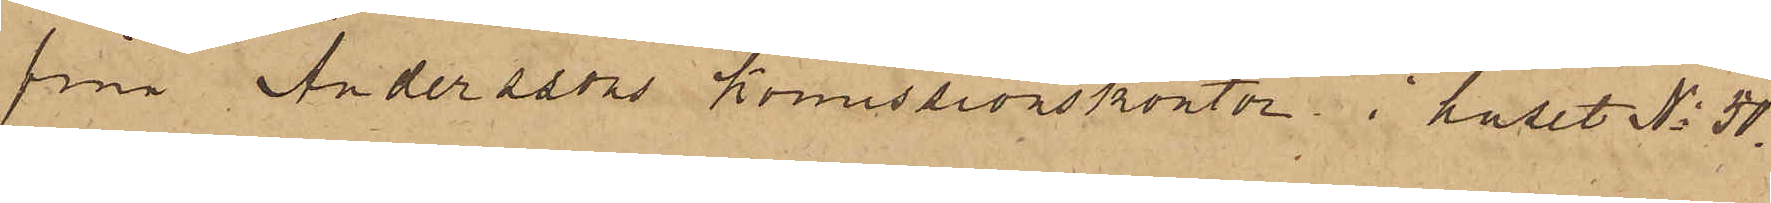fina Anderssons Komissionskontor i huset No 50,
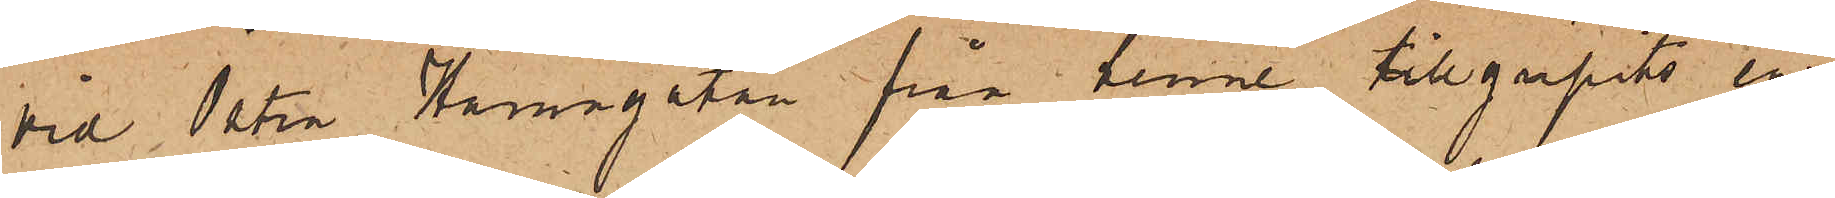vid Östra Hamngatan från henne tillgripits en
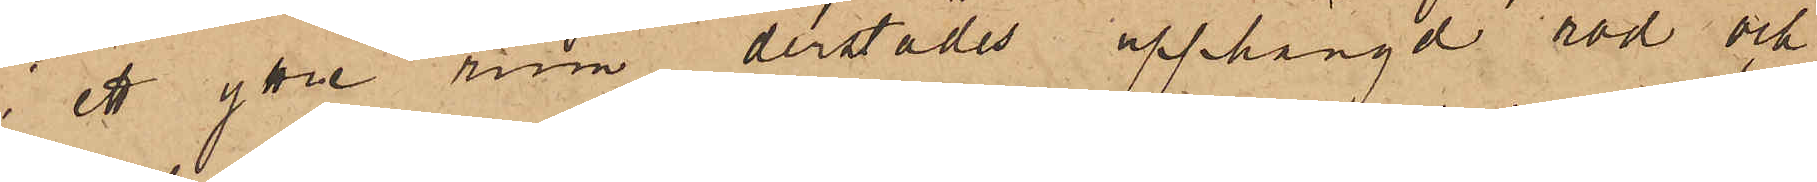i ett yttre rum derstädes upphängd röd och
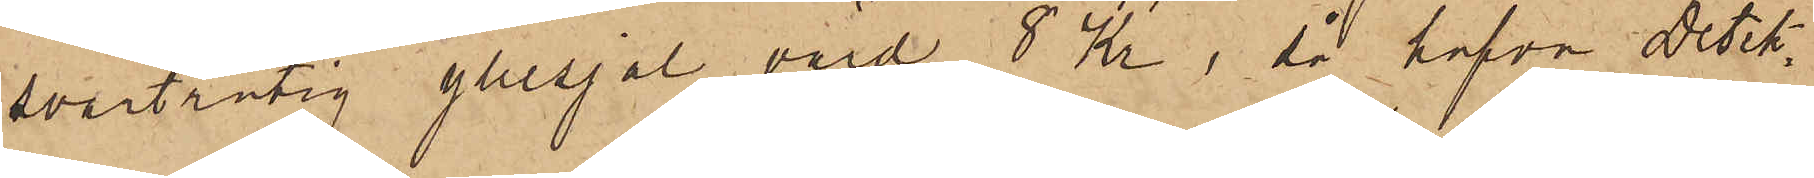svartrutig yllesjal, värd 8 Kr, så hafva Detek¬
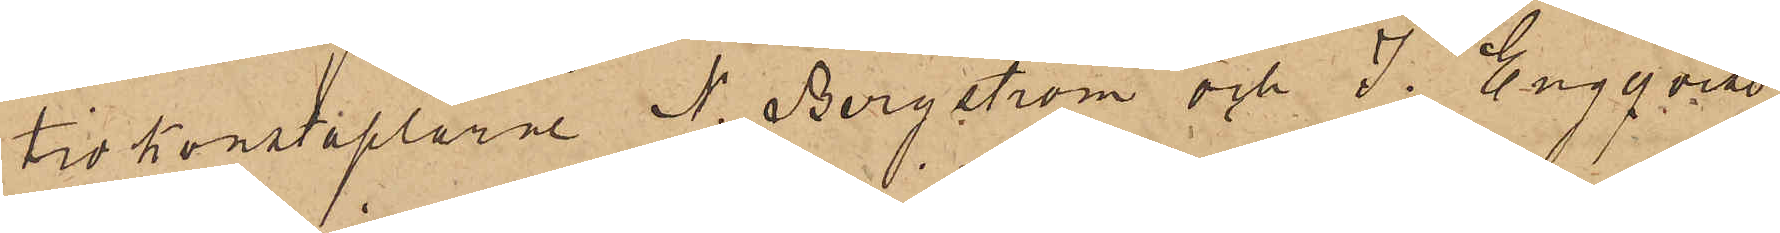tivkonstaplarne N. Bergström och J. Engqvist
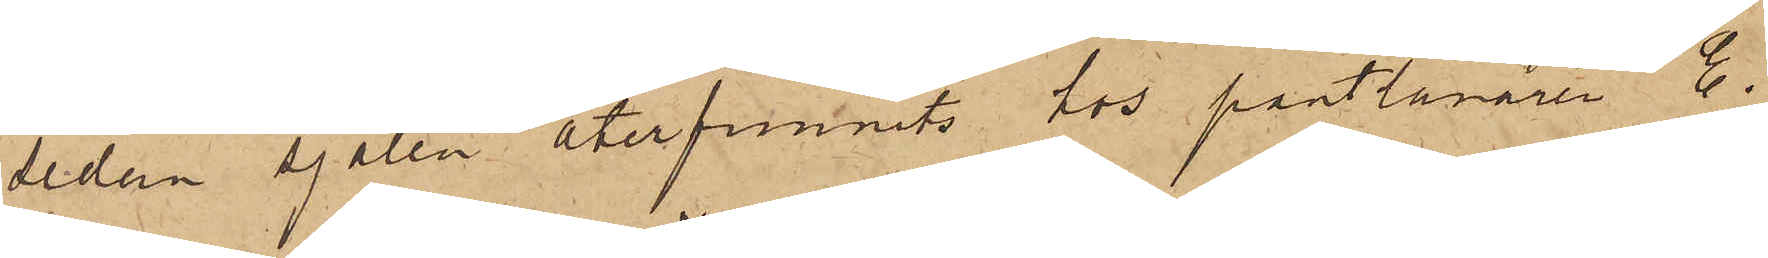sedan sjalen återfunnits hos pantlånaren E.
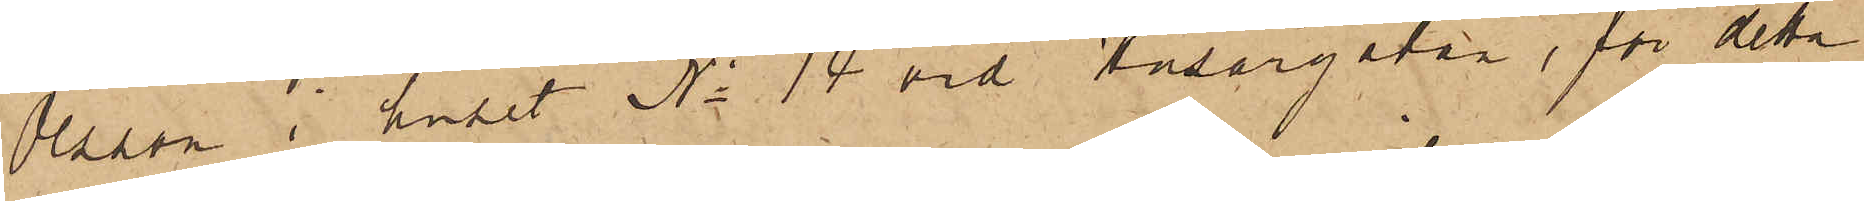Olsson i huset No 14 vid Husargatan, för detta
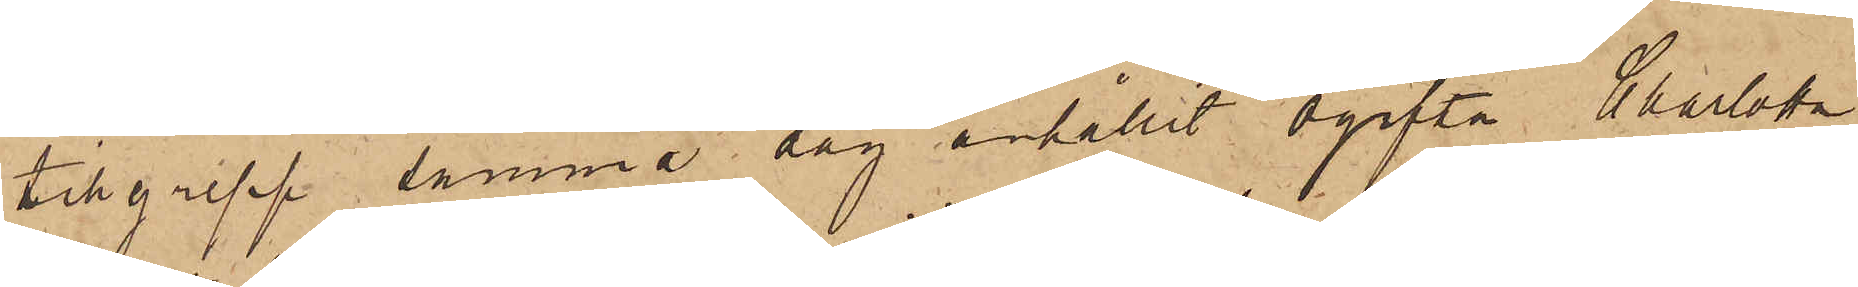tillgrepp samma dag erhållit ogifta Charlotta
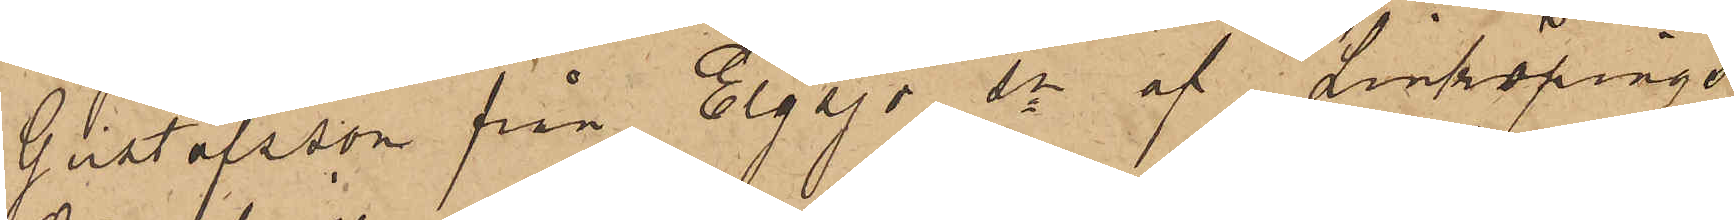Gustafsson från Elgsjö sn af Linköpings
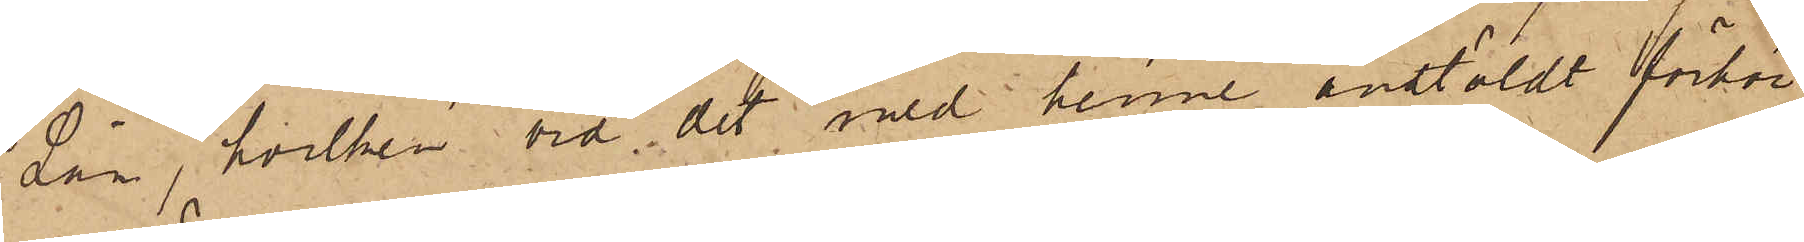Län, hvilken vid det med henne anstäldt förhör
